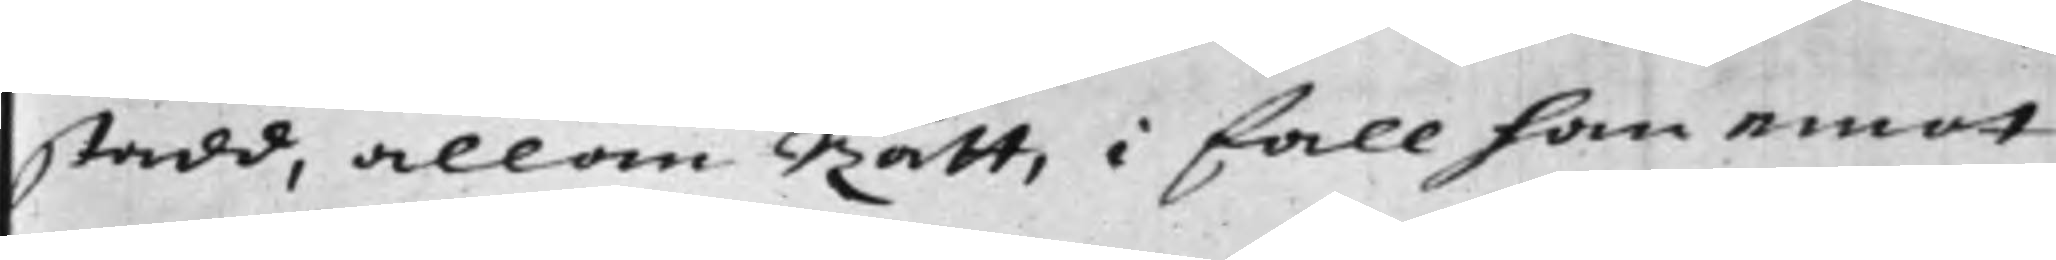stadd, allom Rätt, i fall han emot
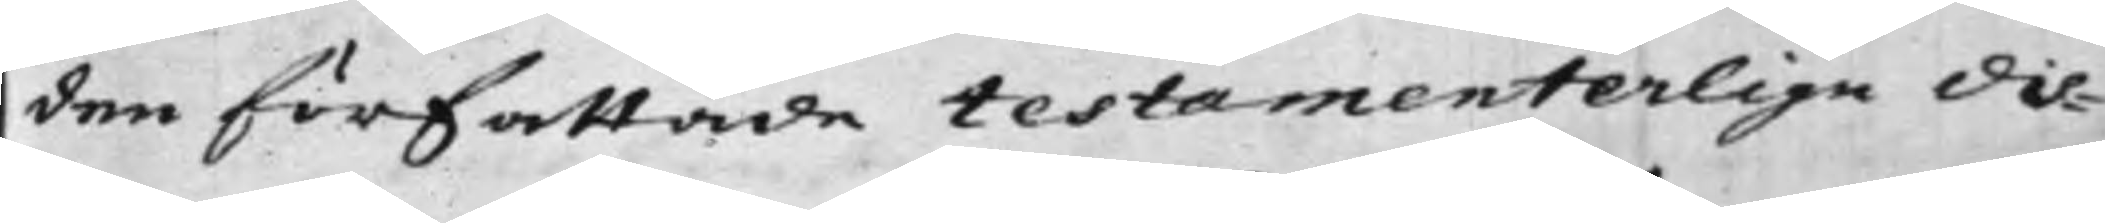den författade testamenterlige dis¬
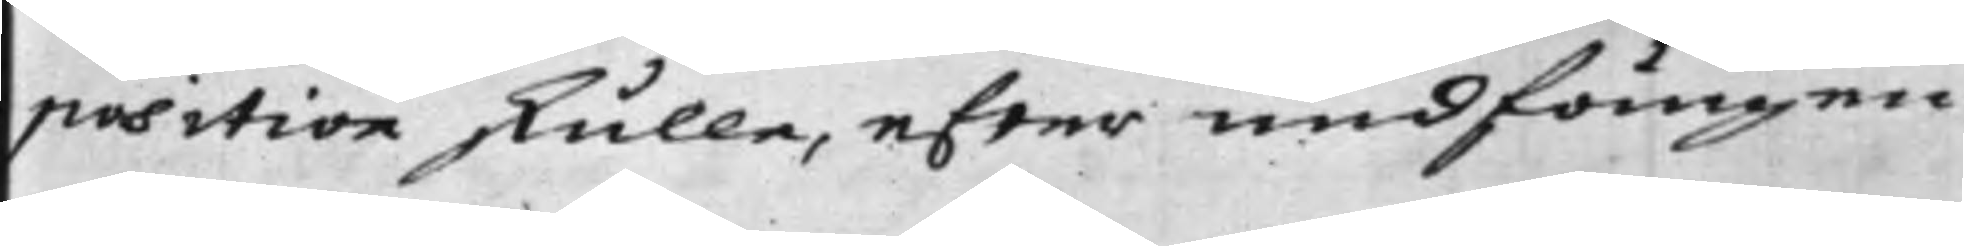position skulle, efter undfången
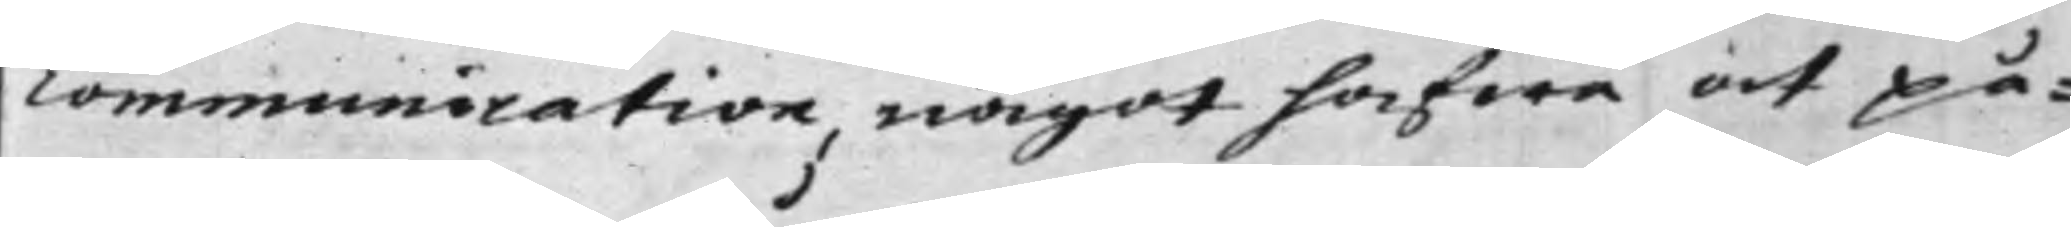communication, något hafwa at på¬
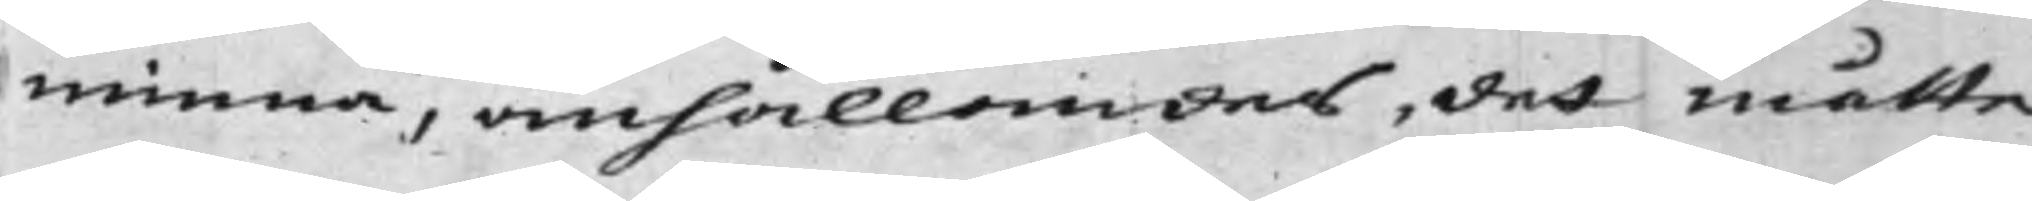minna, anhållandes, det måtte
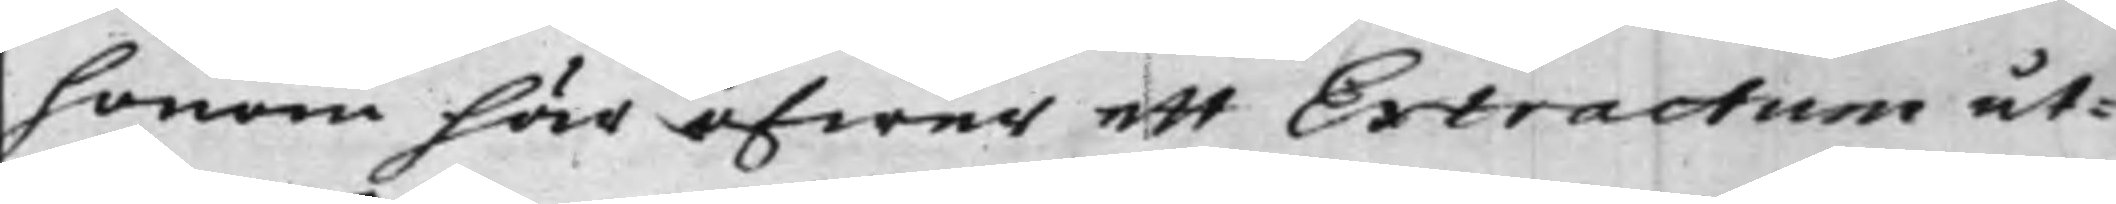honom här öfwer ett Extractum ut¬
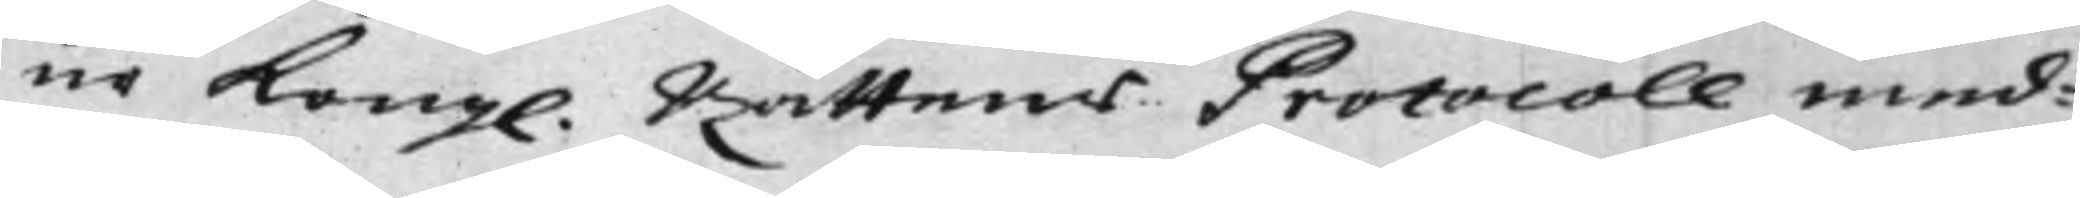ur Kongl. Rättens Protocoll med¬
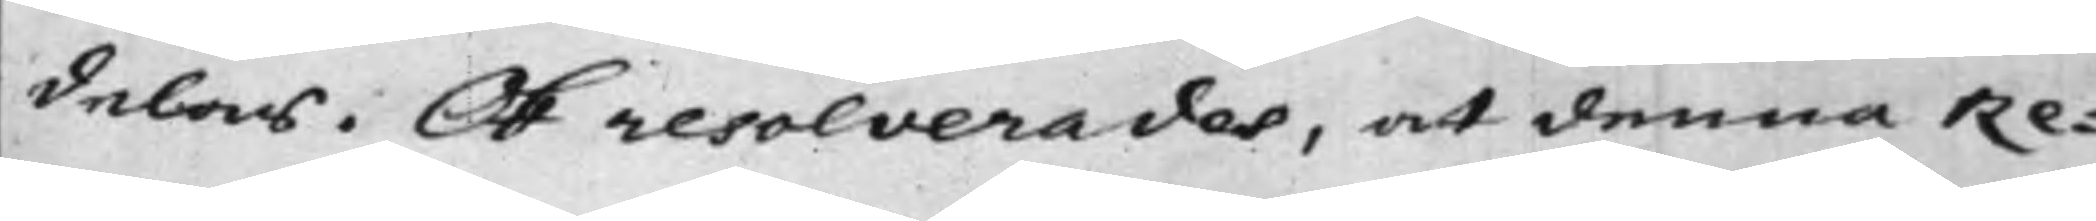delas. Ok resolverades, at denna Re¬
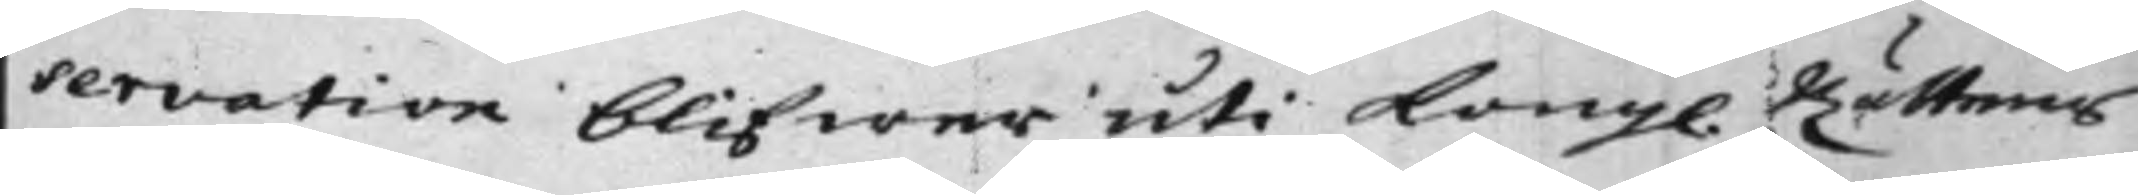servation blifwer uti Kongl Rättens
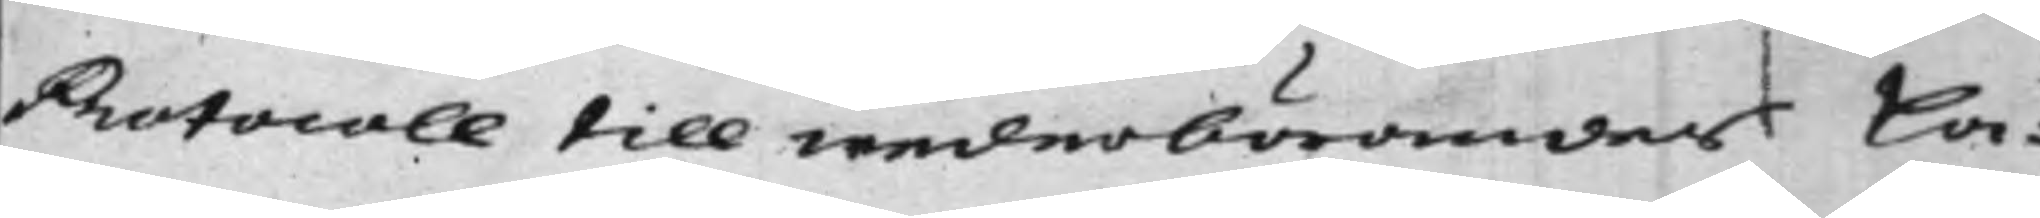Protocoll till wederbörandes La¬
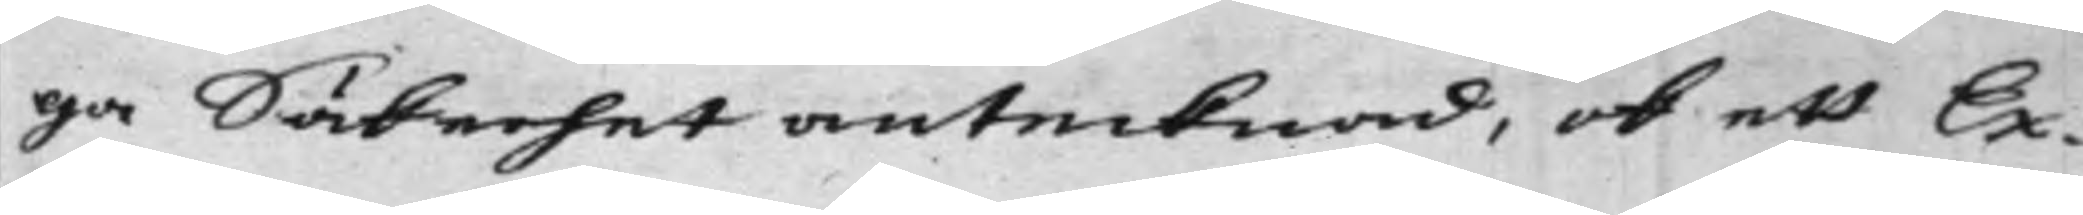ga Säkerhet antecknad, ok att Ex¬
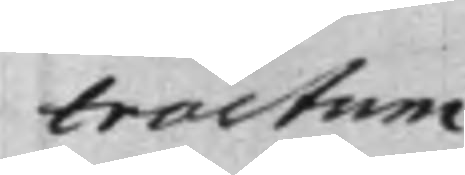tractum
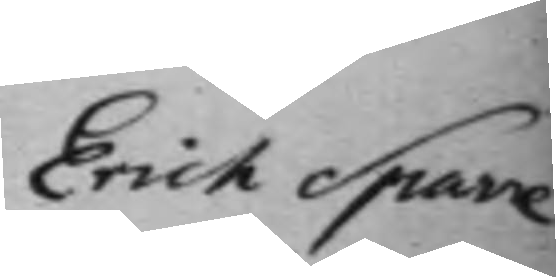Erich Sparre
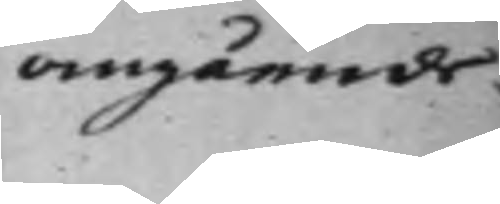angående.
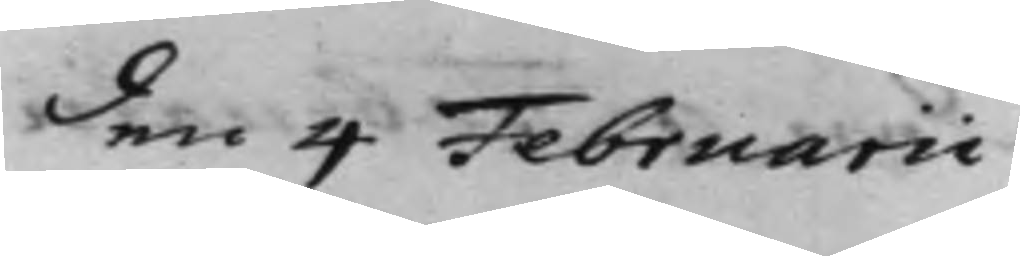den 4 Februarii
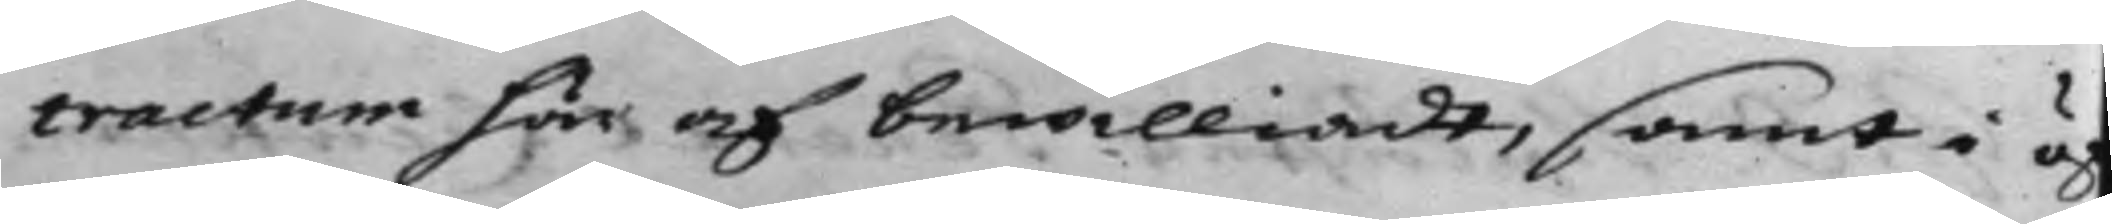tractum här af bewilliadt, samt i ö¬
